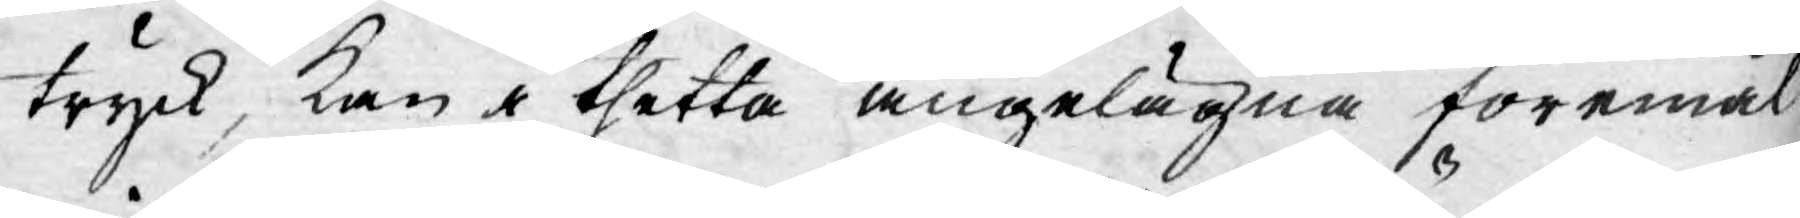tryck, kan i thetta angelägna föremål
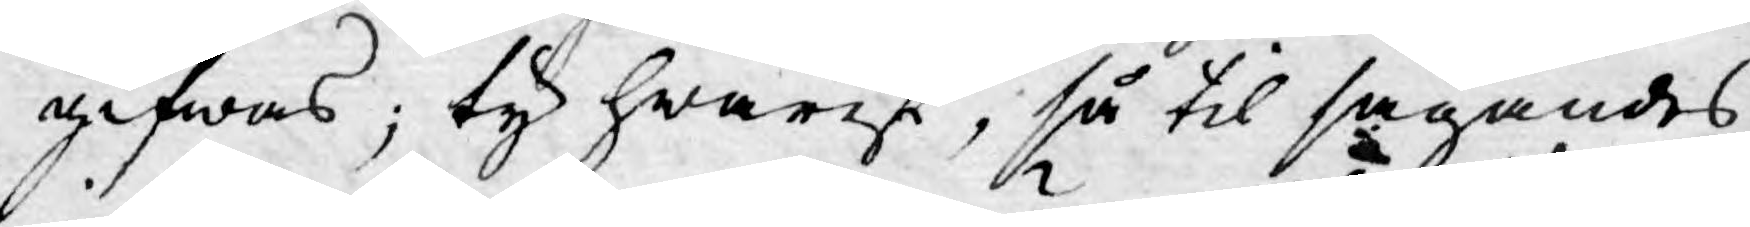gifwas; ty hwarest, så til sägandes
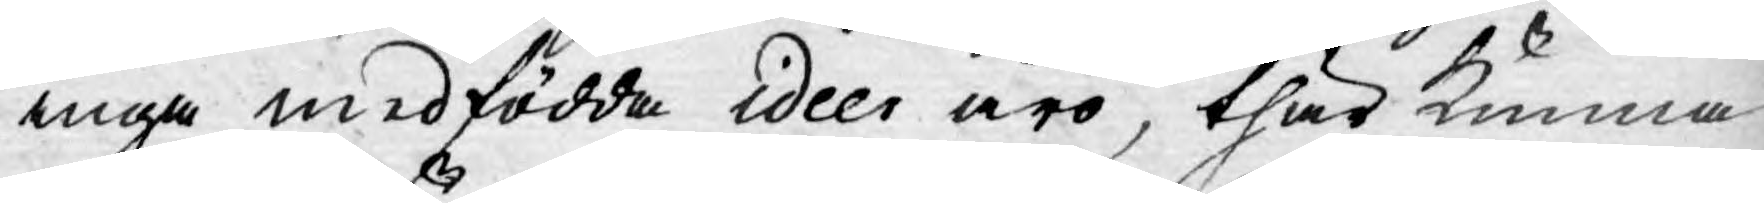inga medfödda ideer äro, thär kunna
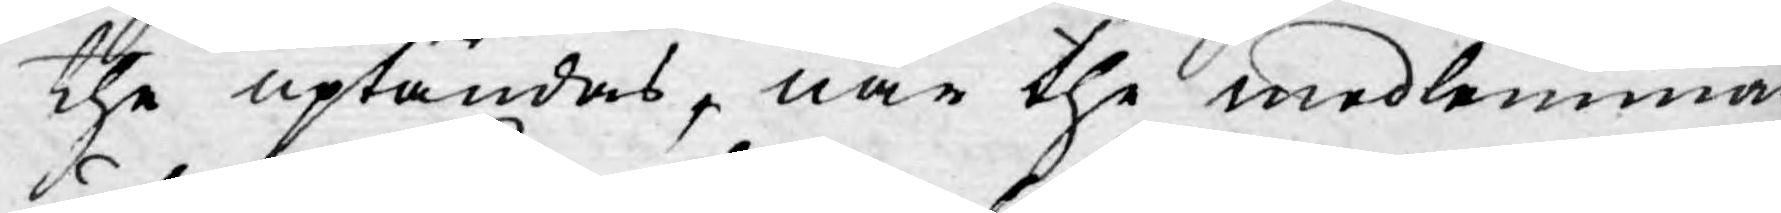the uptändas, när the medlemmar
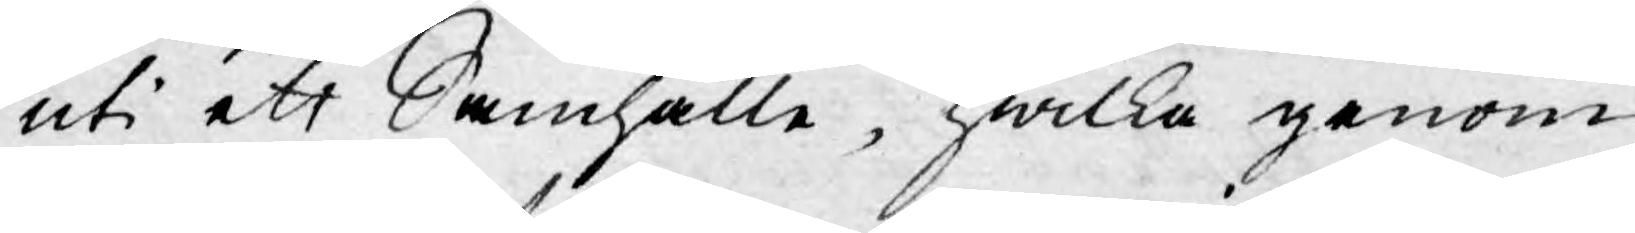uti ett Samhälle, hwilka genom
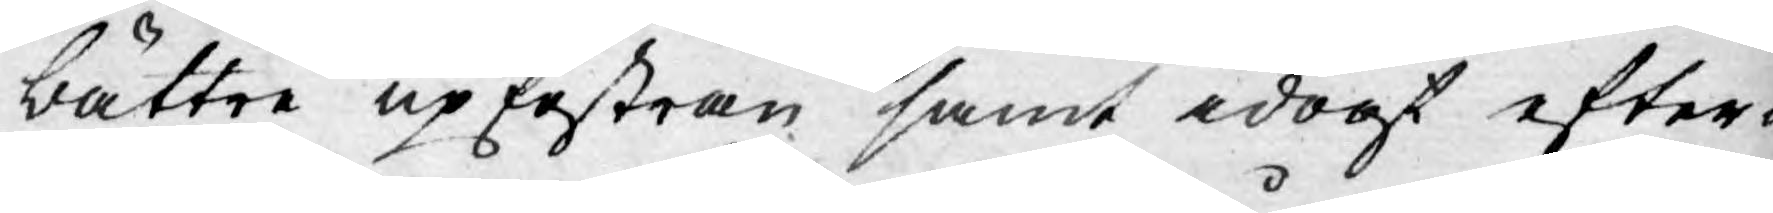bättre upfostran samt idogt efter¬
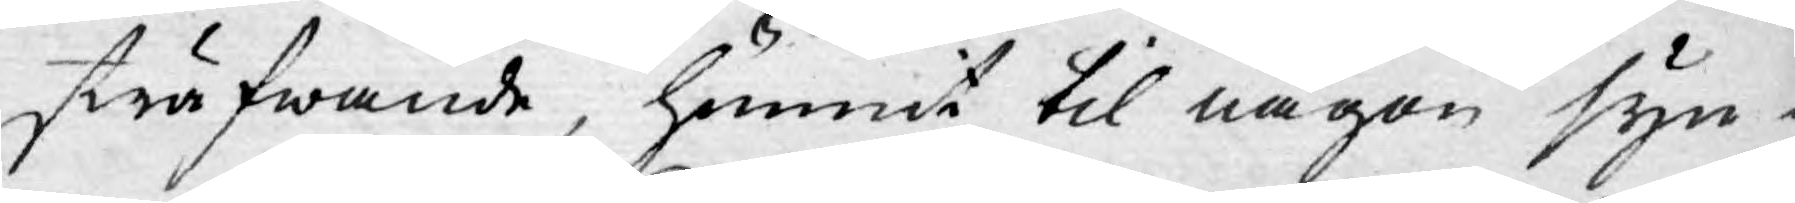sträfwande, hunnit til någon syn¬
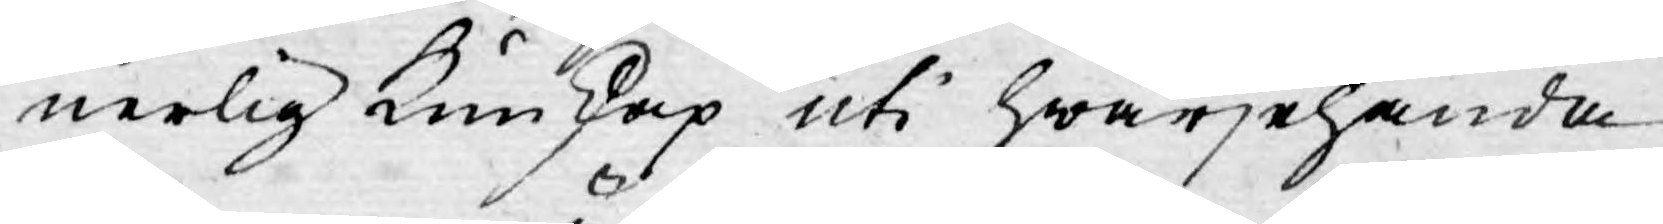nerlig kunskap uti hwarjehanda
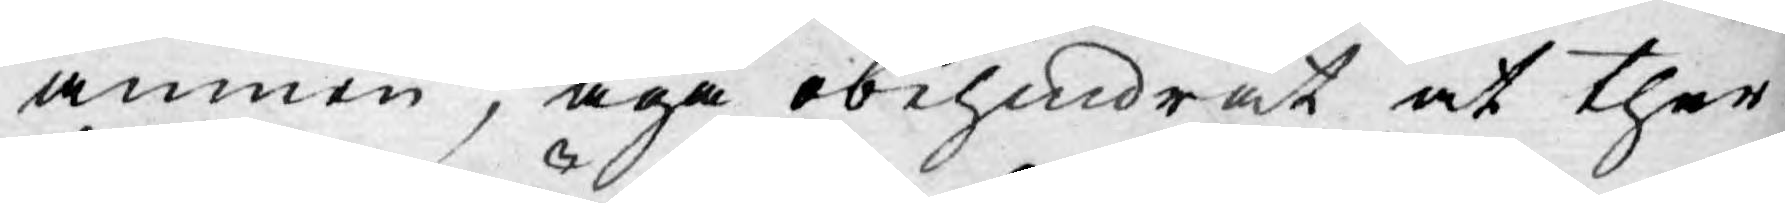ämnen, äga obehindrat at ther¬
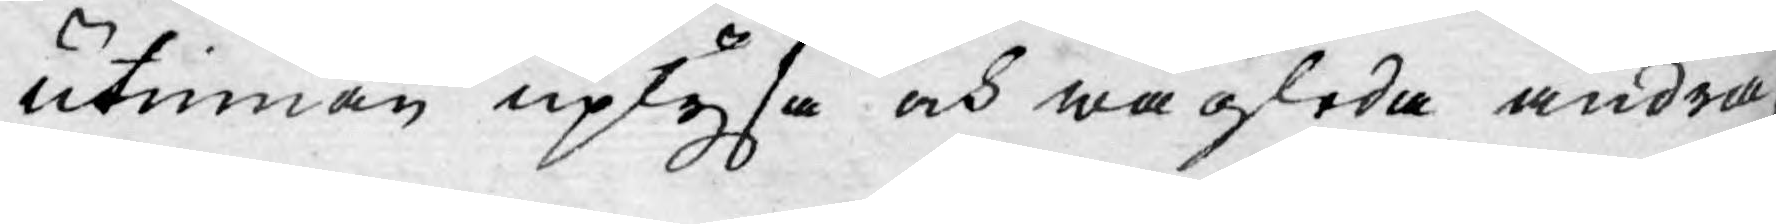utinnan uplysa och wägleda andra,
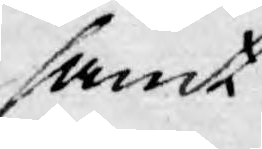samt
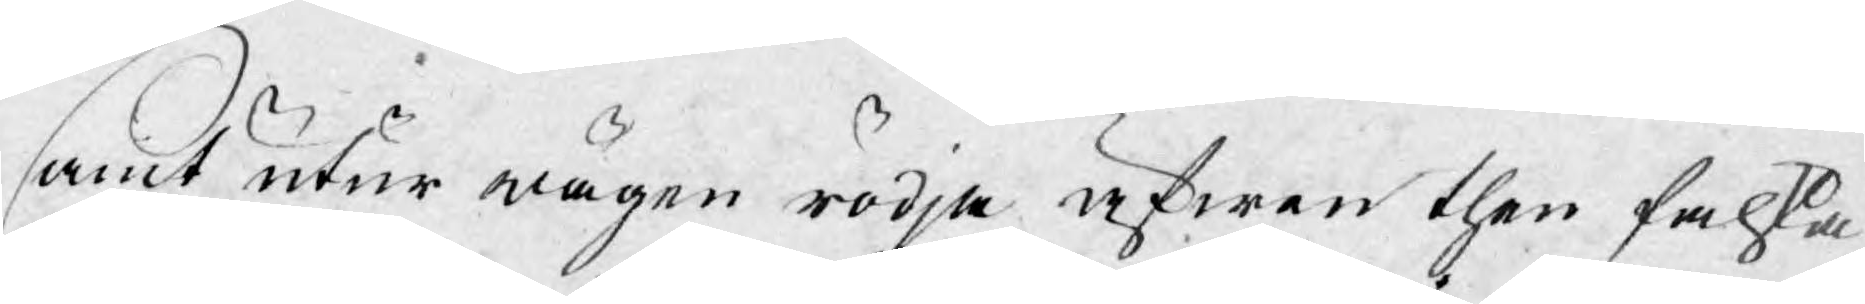samt utur wägen rödja äfwen then falska
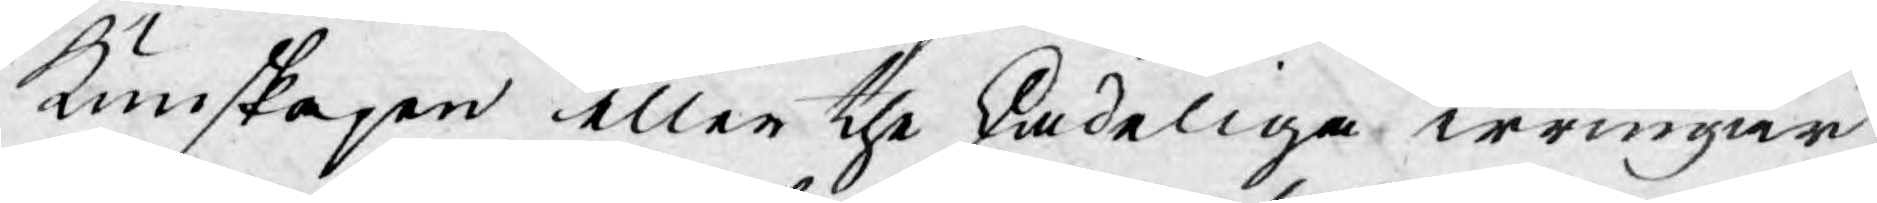kunskapen eller the skadeliga irringar,
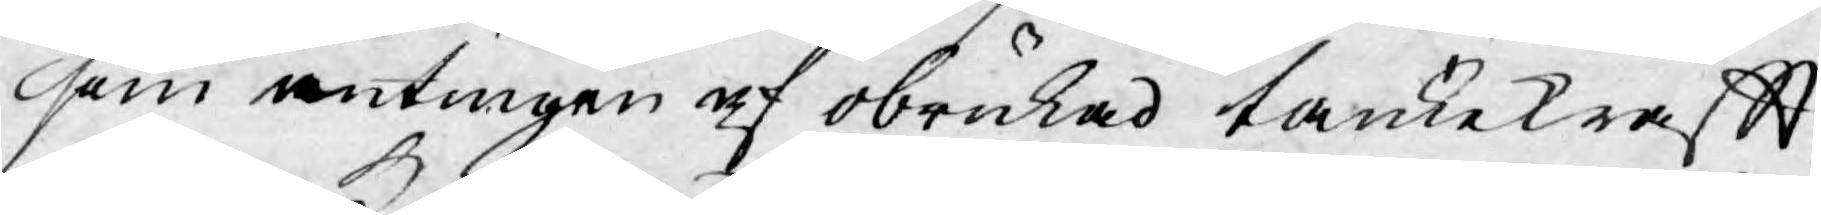som antingen af obrukad tankekraftt,
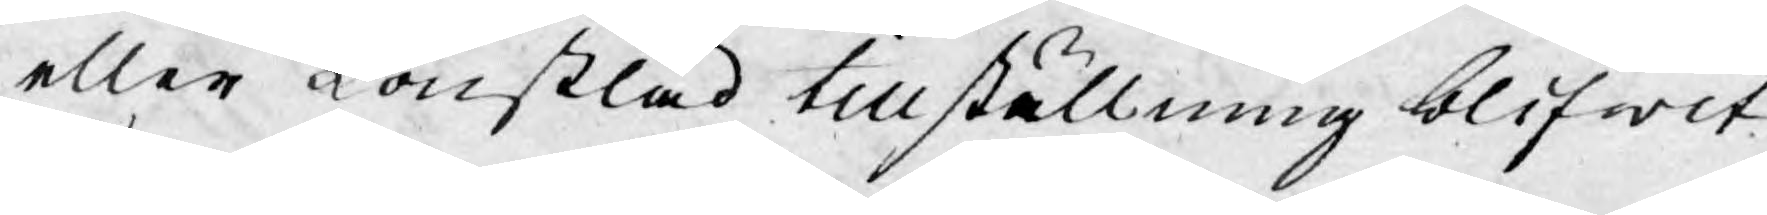eller konstlad tillställning blifwit
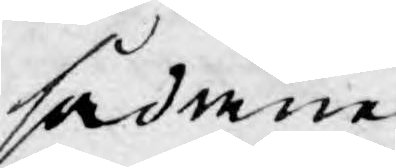sådane.
